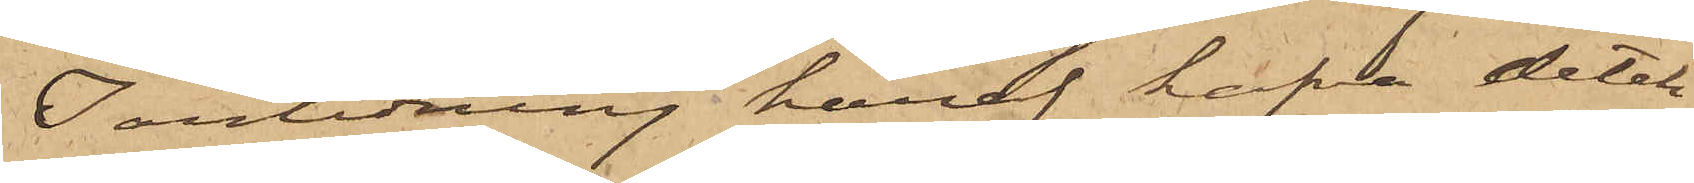I anledning häraf hafva detek¬
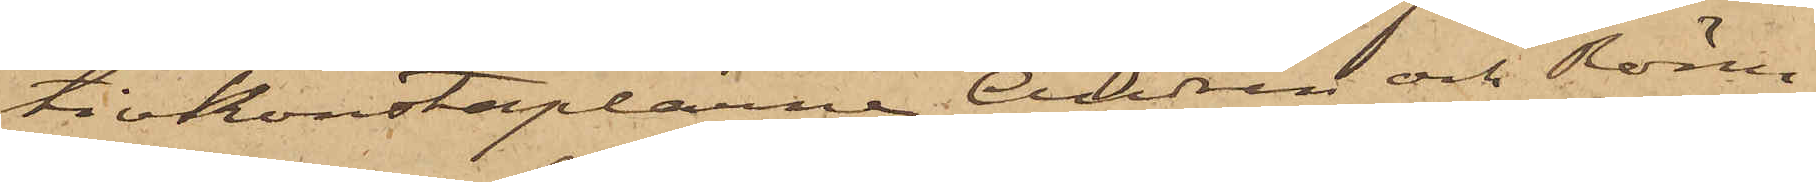tivkonstaplarne Andrén och Rönn¬
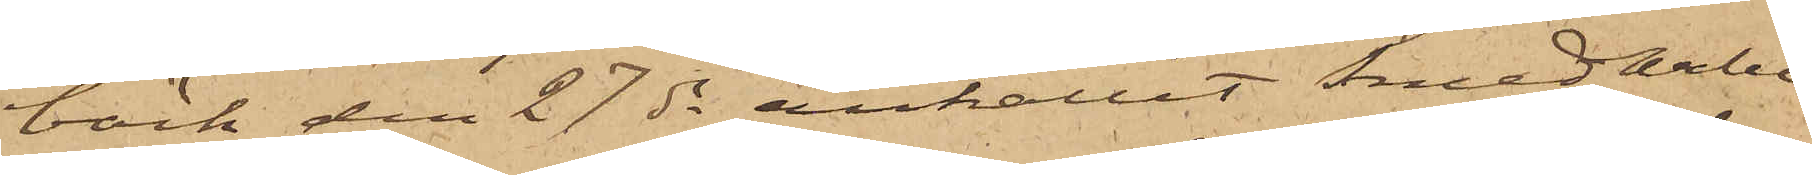bäck den 27 ds anhållit Smedarbe¬
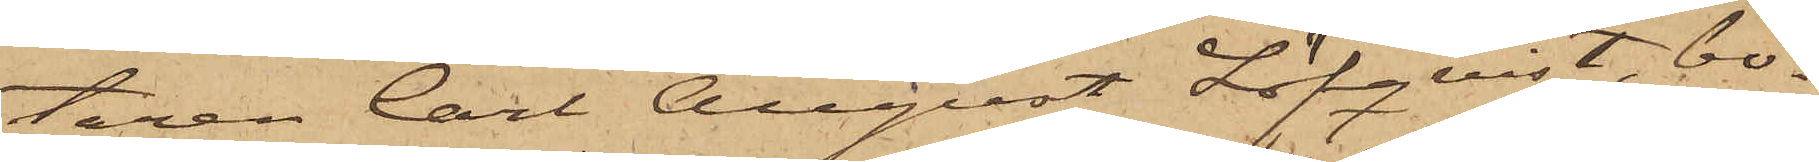taren Carl August Löfqvist, bo¬
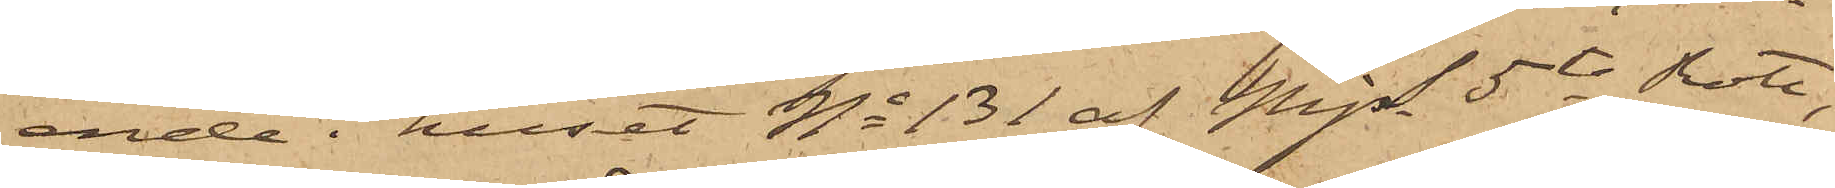ende i huset No 131 af Mjs 5te Rote,
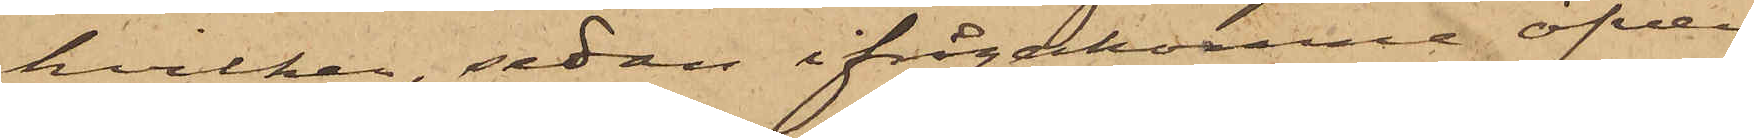hvilken, sedan ifrågakomne öfver¬
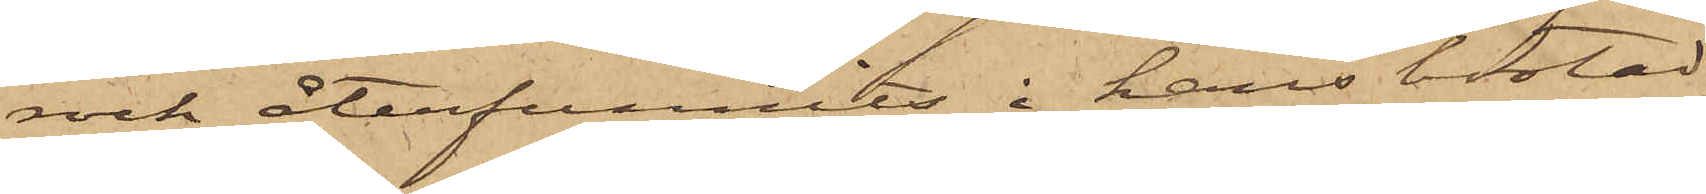rock återfunnits i hans bostad,
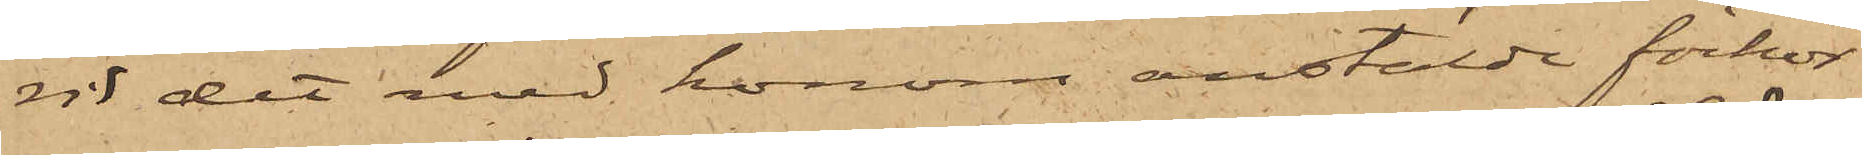vid det med honom anstälde förhör
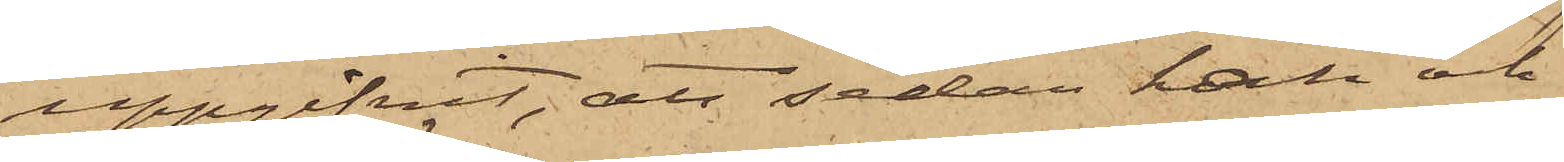uppgifvit, att sedan han och
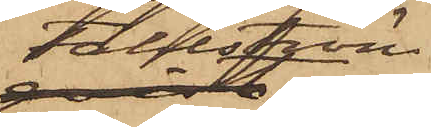Fahlström,
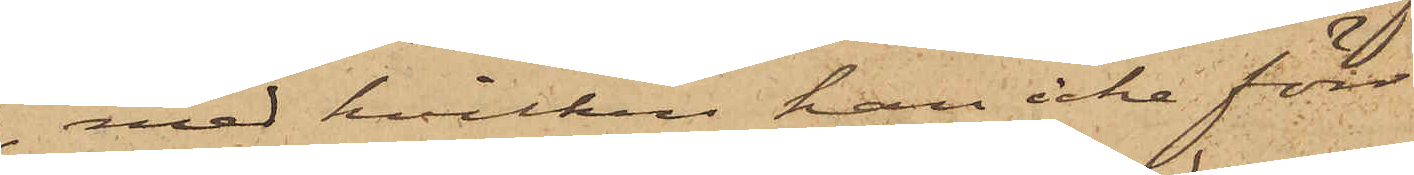med hvilken han icke förr
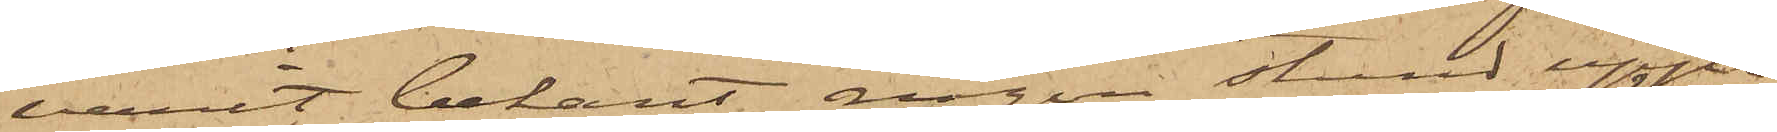varit bekant, någon stund uppe¬
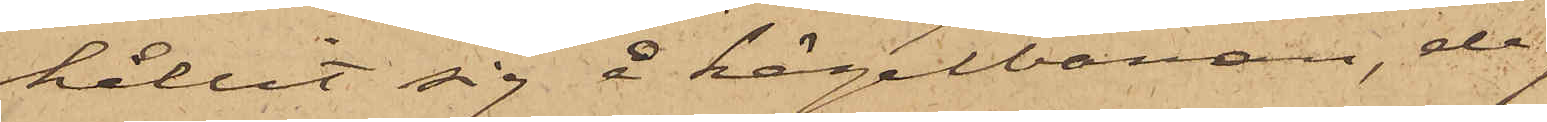hållit sig å kägelbanan, de
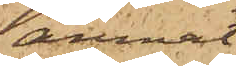ämnat
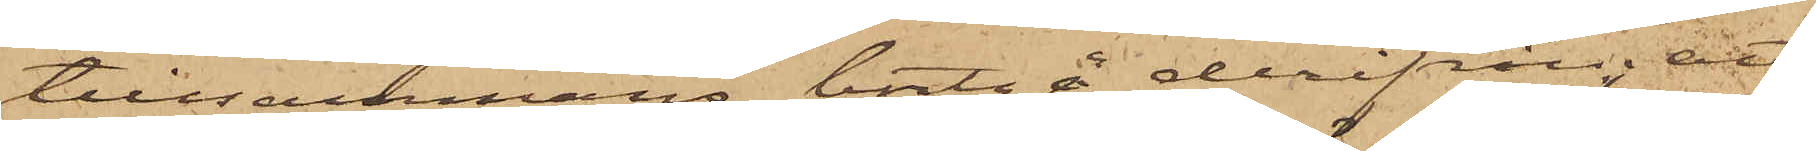tillsammans bortgå derifrån; att
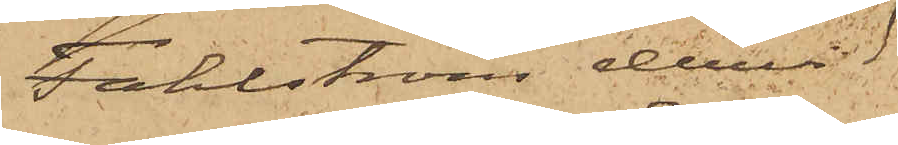Fahlström dervid
